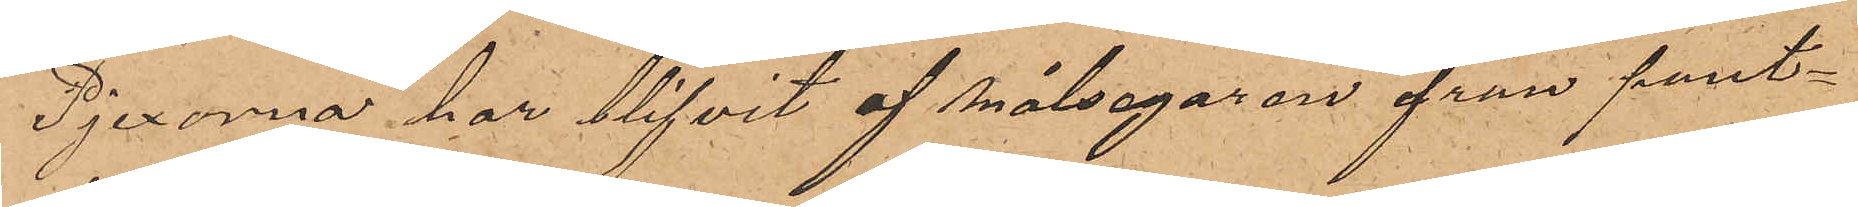Pjexorna har blifvit af målsegaren från pant¬
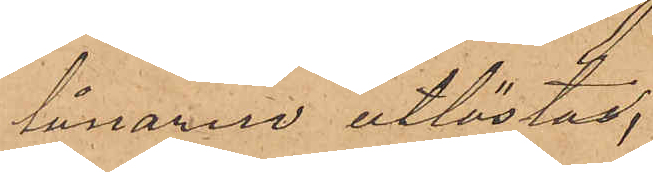lånaren utlösta.
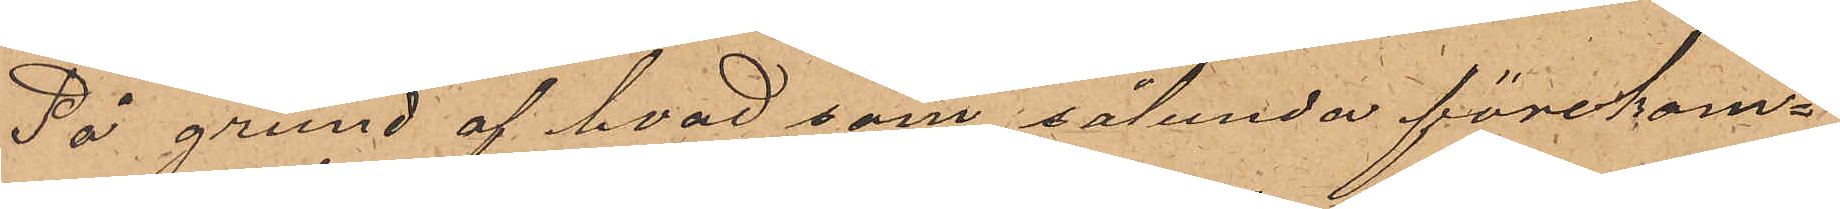På grund af hvad som sålunda förekom¬
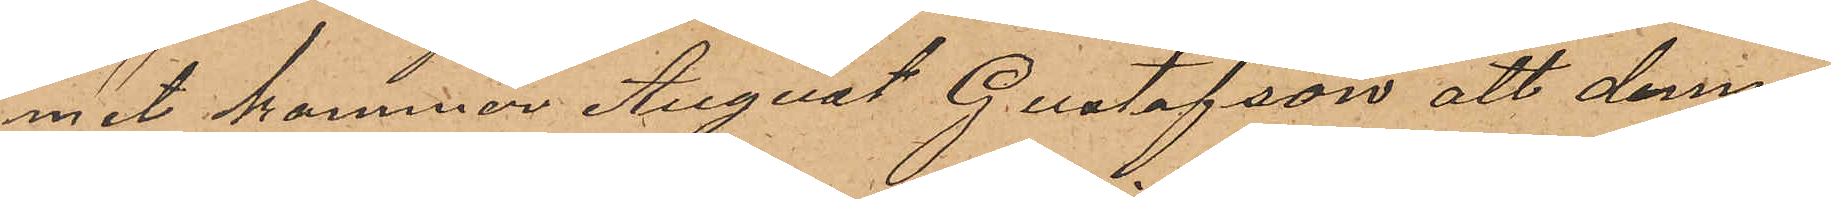met kommer August Gustafson, att denna
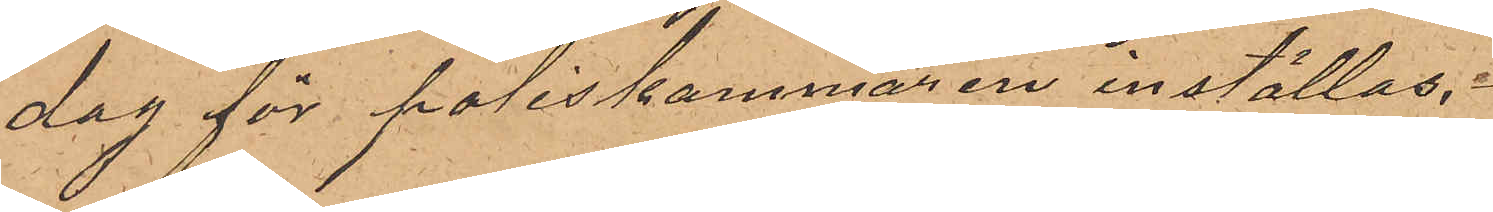dag för poliskammaren inställas.
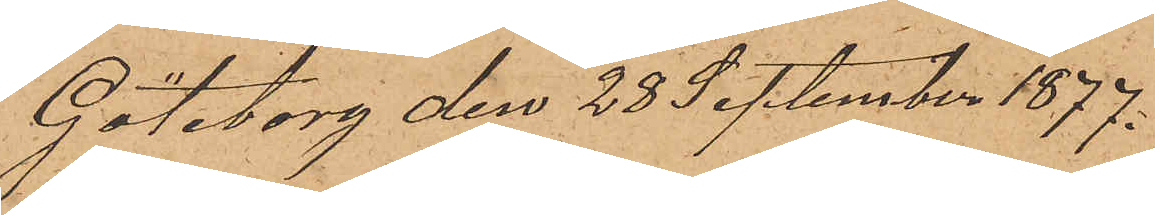Göteborg den 28 September 1877.
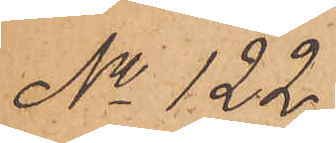No 122.
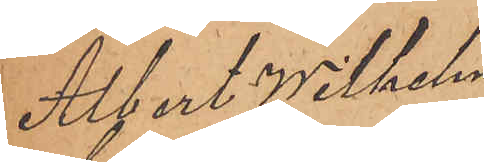Albert Wilhelm
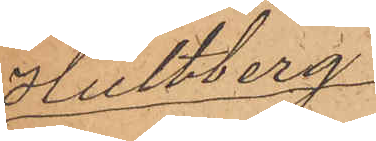Hultberg.
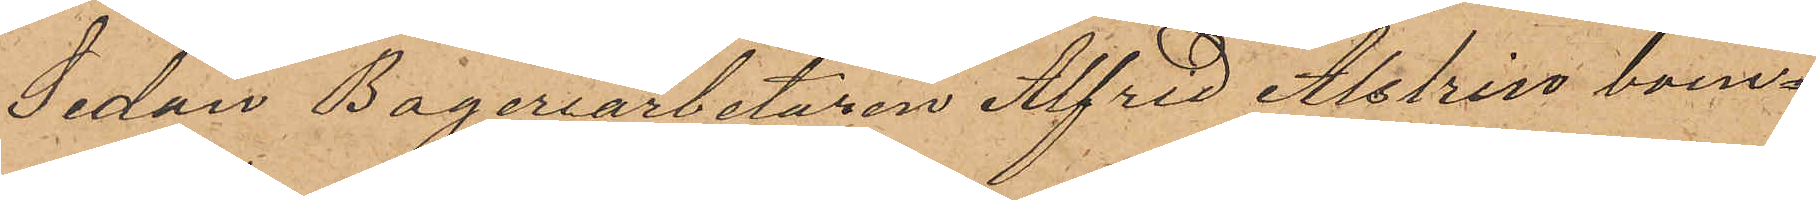Sedan Bageriarbetaren Alfred Alstrin boen¬
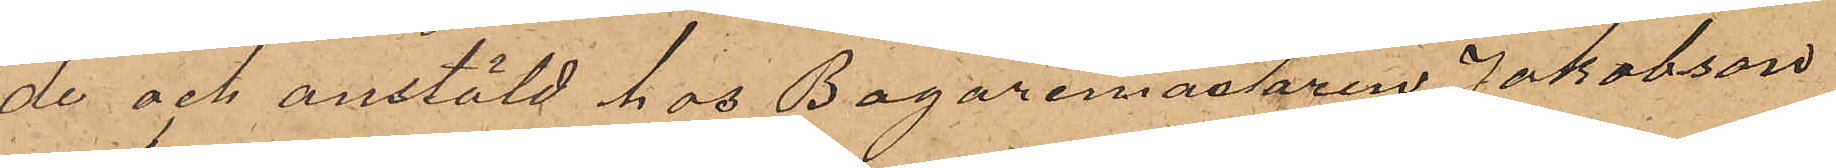de och anstäld hos Bagaremästaren Jakobson
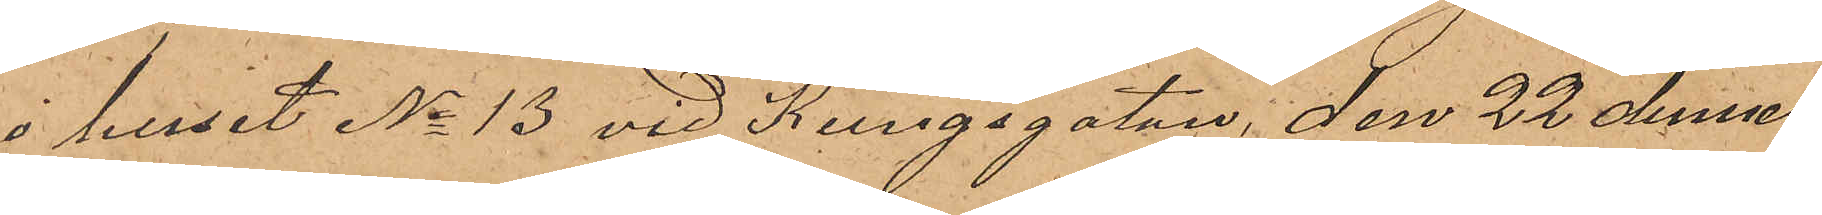i huset No 13 vid Kungsgatan, den 22 dennes
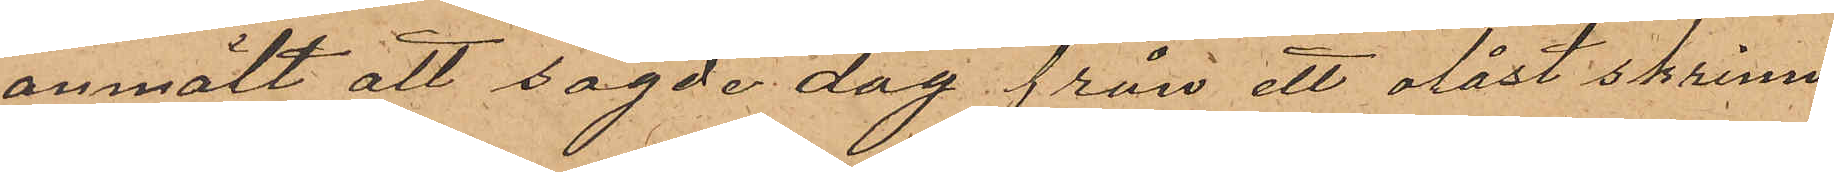anmält att sagde dag från ett olåst skrin
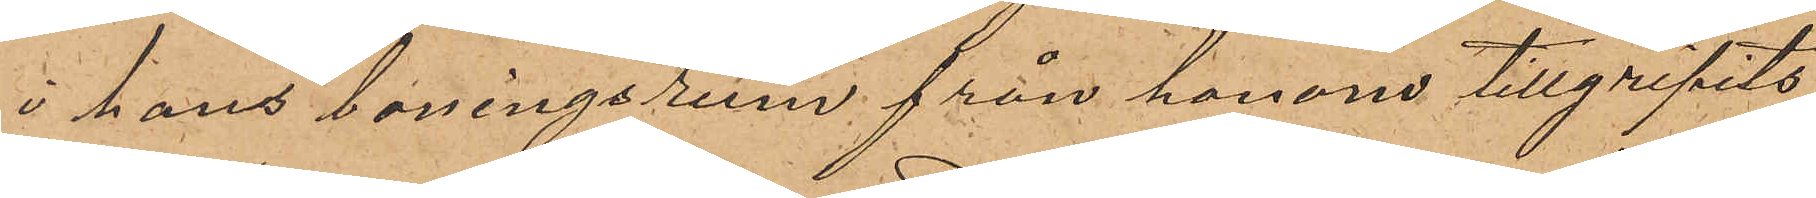i hans boningsrum från honom tillgripits
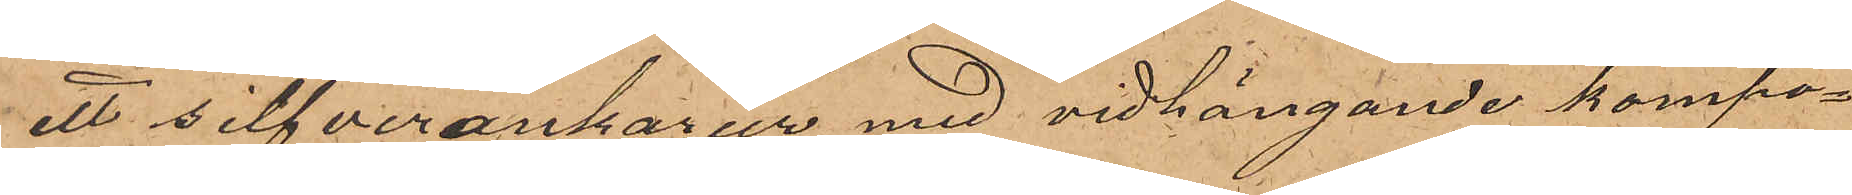ett silfverankarur med vidhängande kompo¬
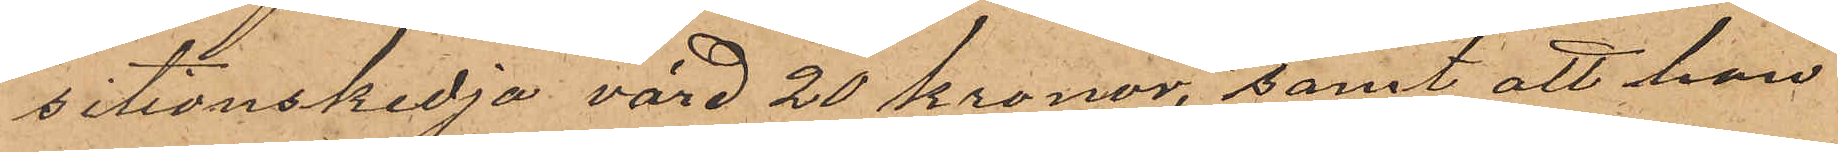sitionskedja värd 20 kronor, samt att han
